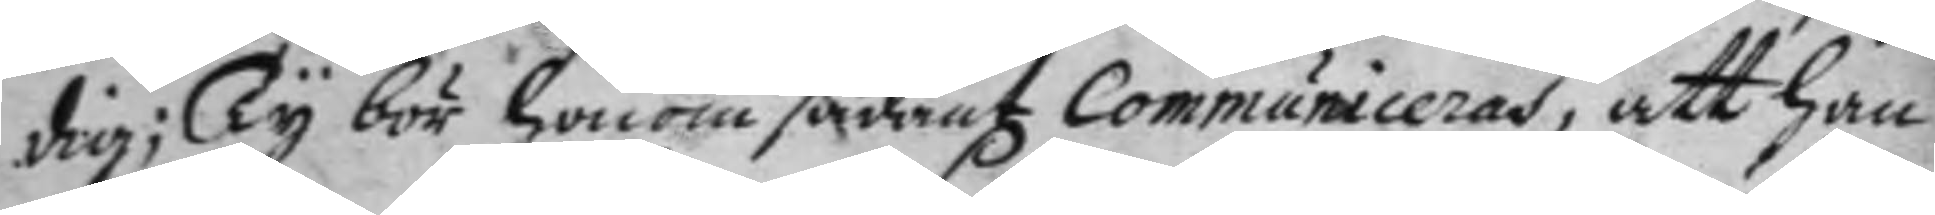dig; Ty bör honom sådant Communiceras, att han
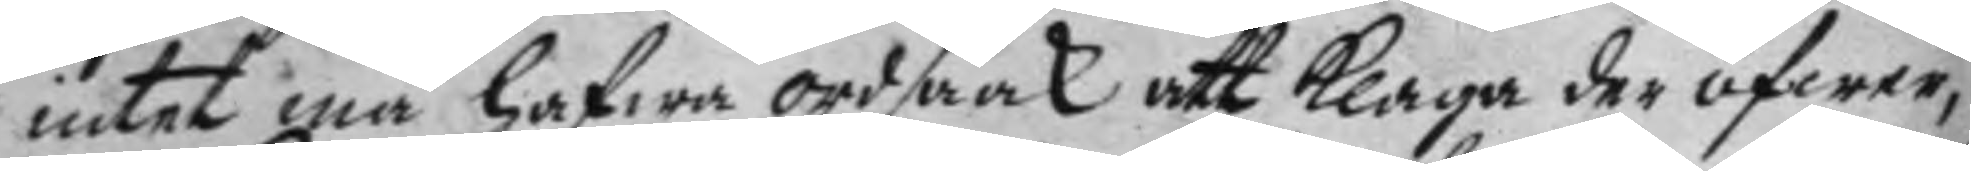intet må hafwa ordsaak att klaga der öfwer,
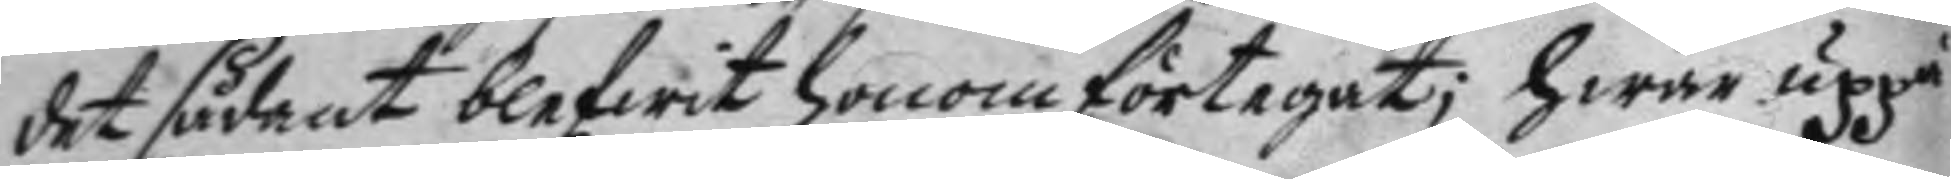det sådant blefwit honom förtegat; hwar uppå
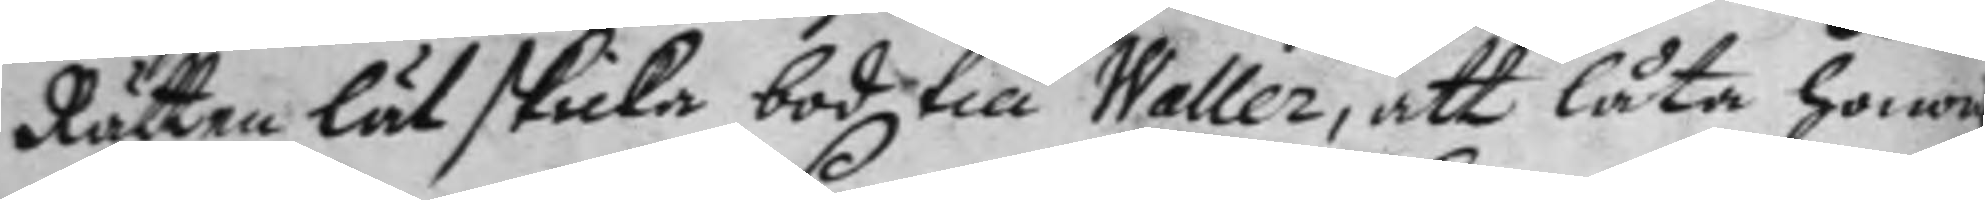Rätten lät skicka bod till Waller, att låta honom
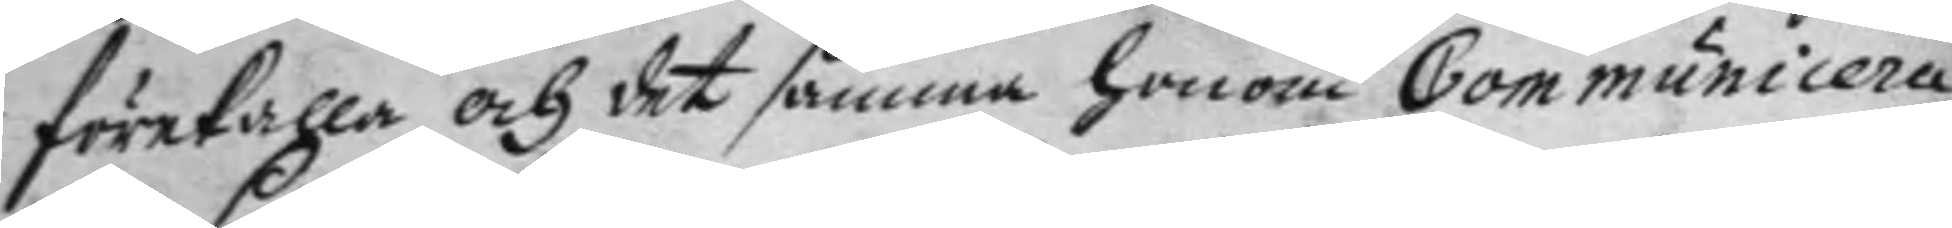förekalla och det samma honom Communicera,
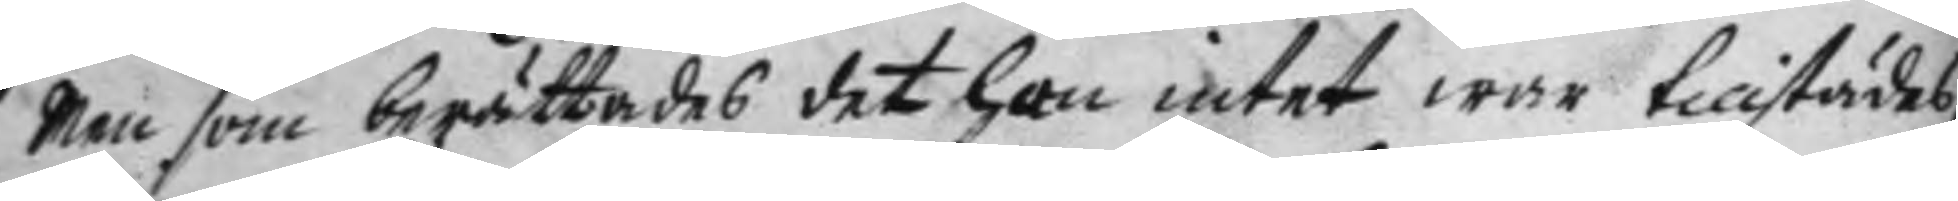men som brättades det han intet war tillstädes,
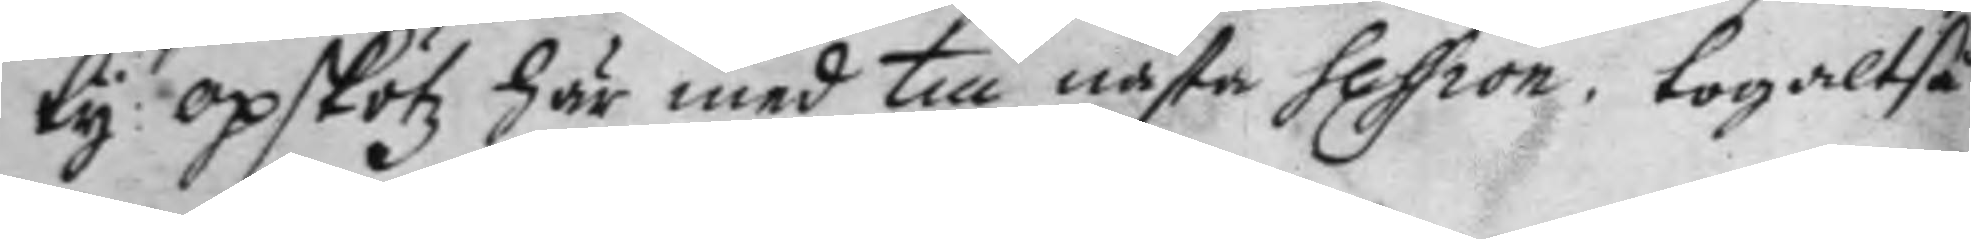ty opskötz här med till nästa session tog altså
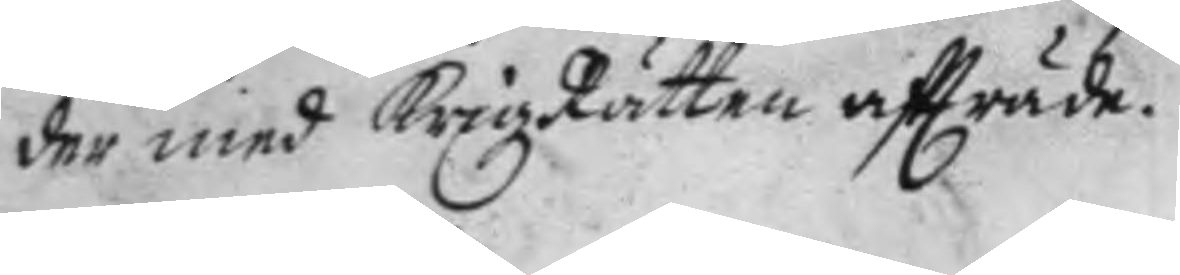der med KrigzRätten aftträde.
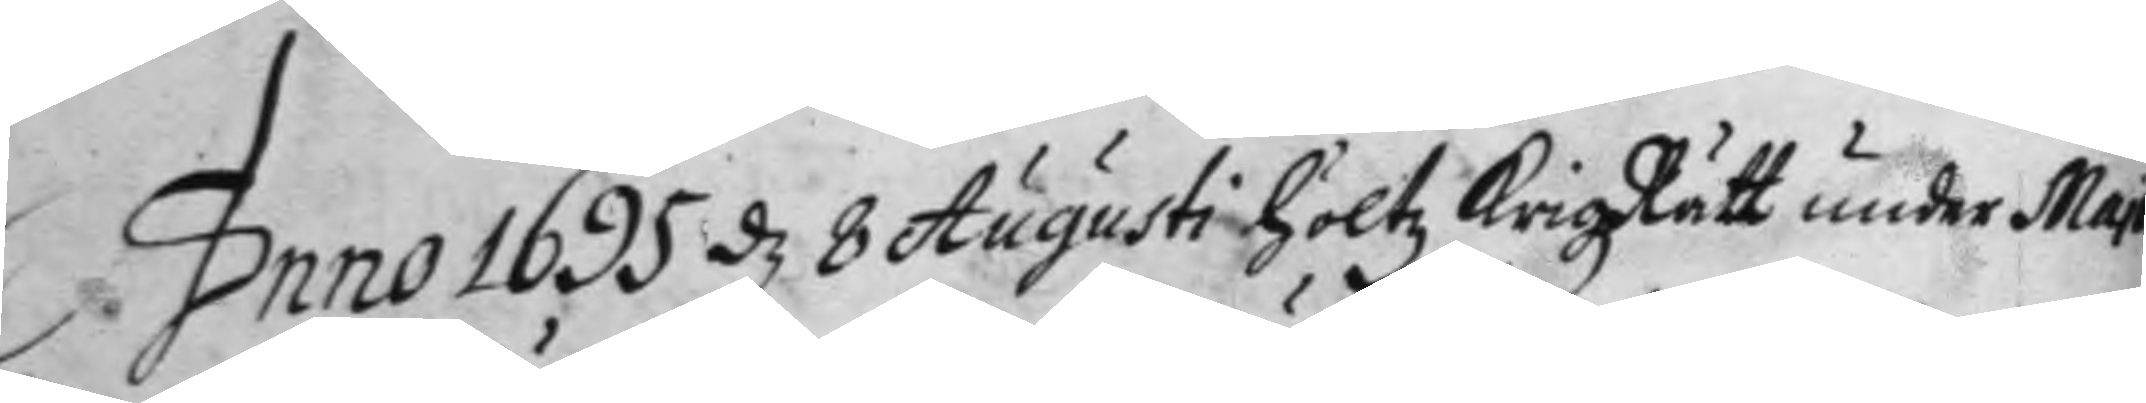Anno 1695 d 8 Augusto höltz KrigzRätt under Majo¬
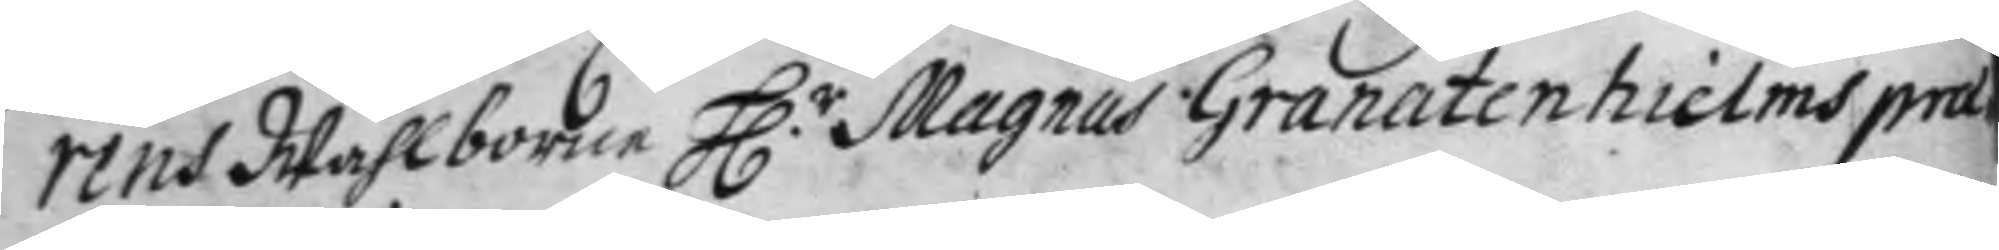rens Wählborne H.r Magnus Granatenhielms præ¬
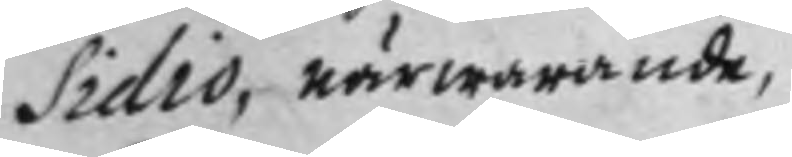sidio, närwarande,
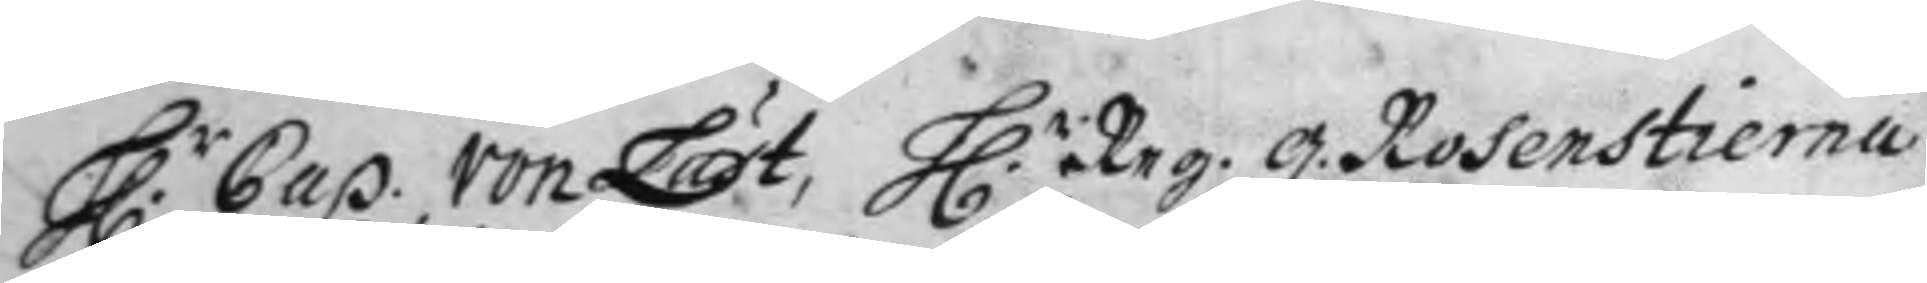H.r Cap. von Läst, H.r Reg. q. Rosenstierna
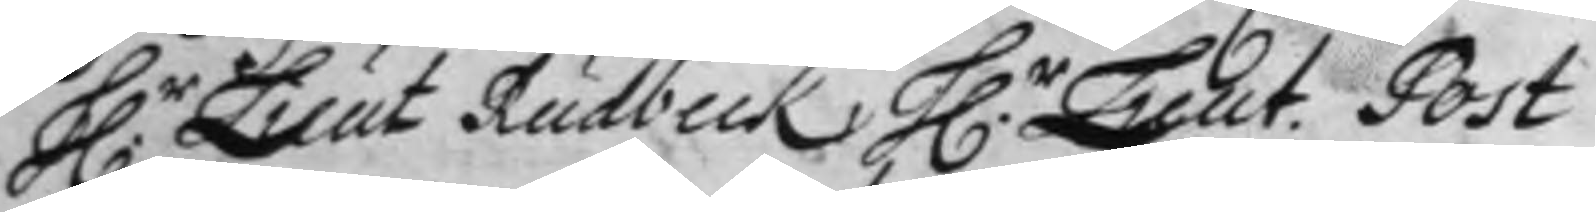H.r Leut Rudbeck, H.r Leut. Post
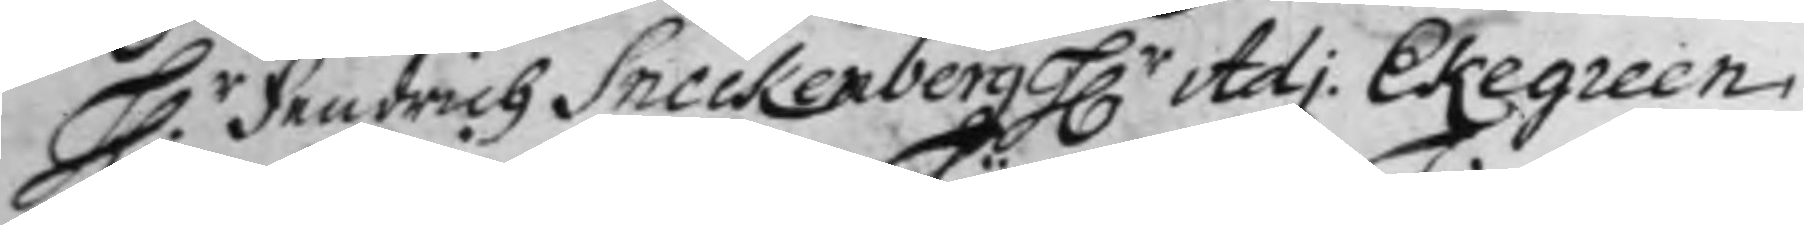H.r Fendrich Sneckenberg, H.r Adj. Ekegreen,
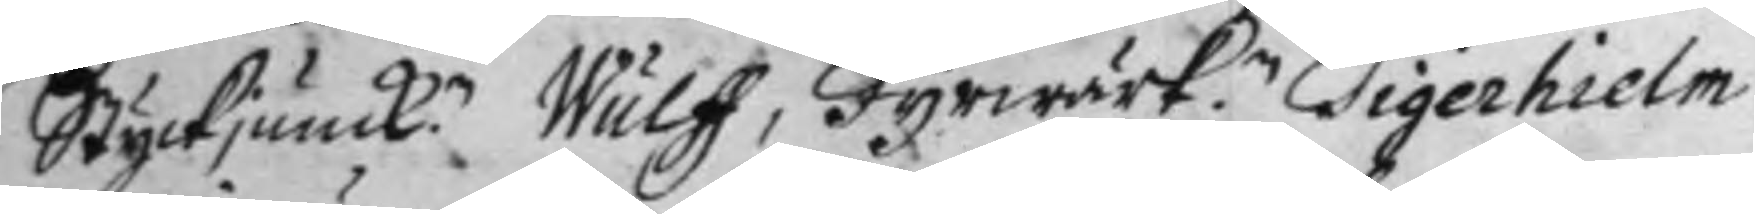Styckjunck.n Wulff, Fyrwärk.n Tigerhielm,
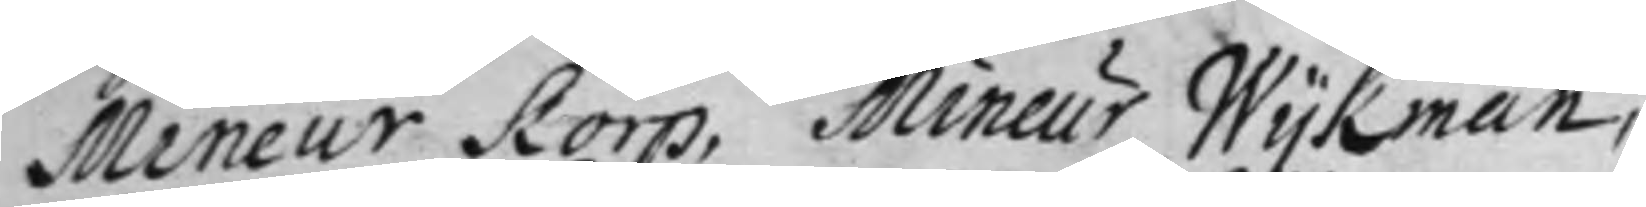Mineur Korp, Mineur Wykman,
